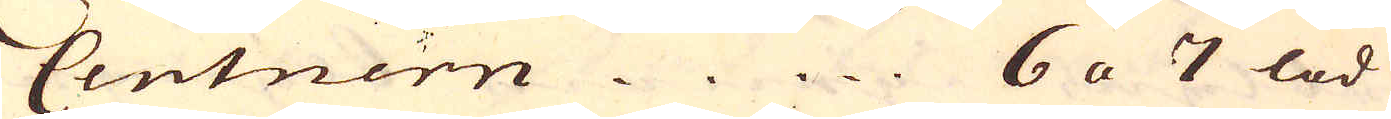Centnern 6 a 7 lod
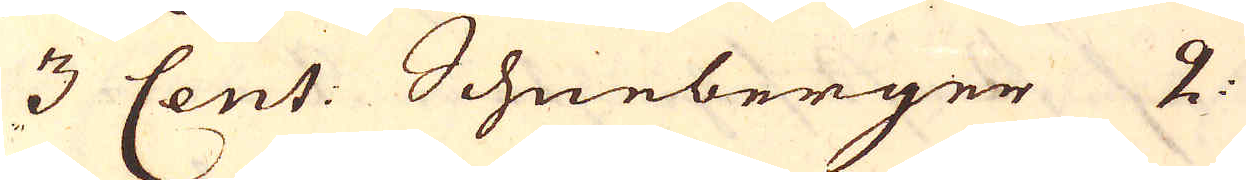3 Cent: Schneberger 2.
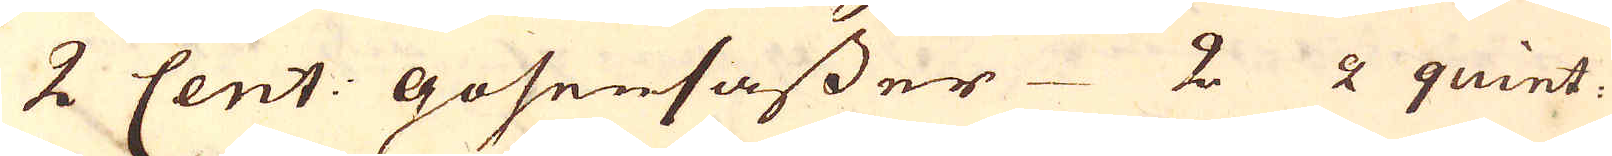2 Cent: gosensasser 2 2 quint.
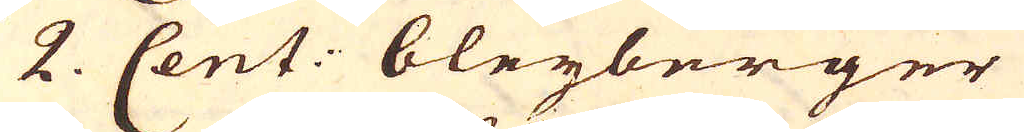2. Cent: bleiyberger
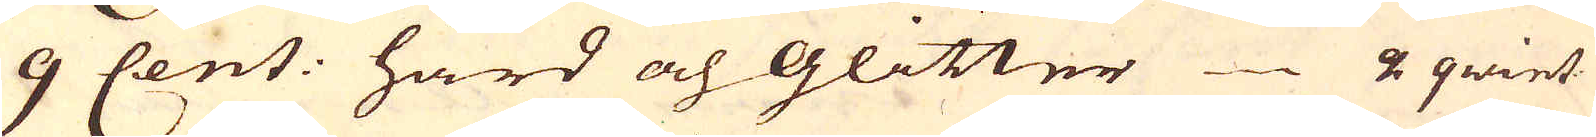9 Cent: hård och Glitter 2 qwint:
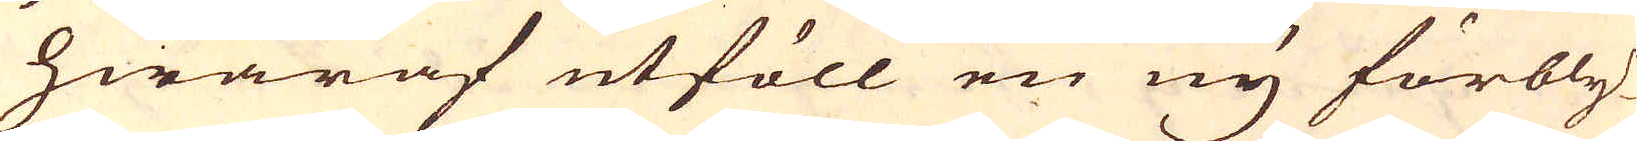hwaraf utföll en ny förbly-
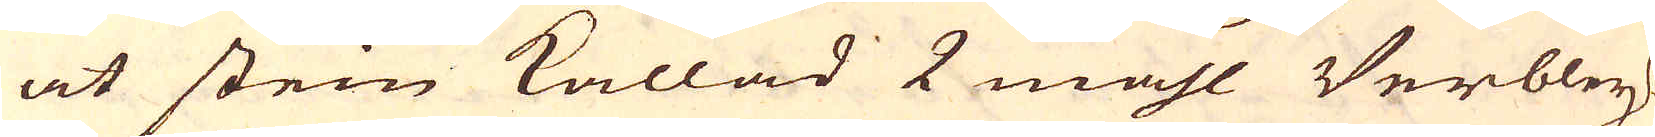at stein kallad 2 mahl Verbley-
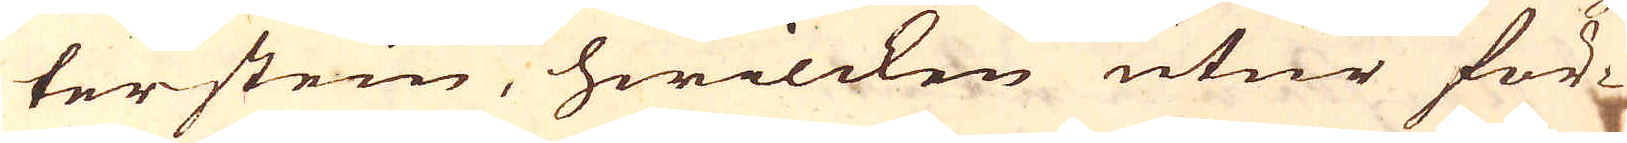terstein, hwilcken utur för-
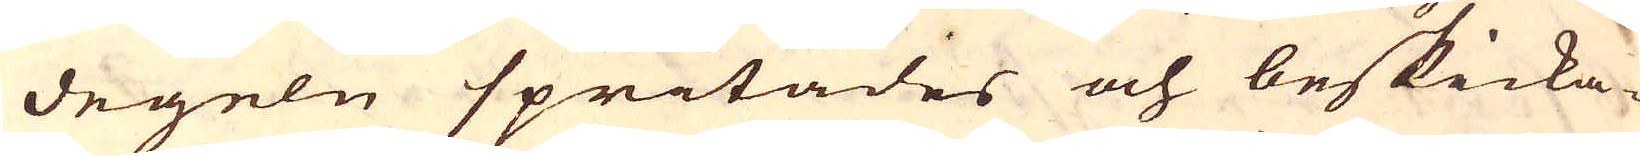degeln spritades och beskicka-
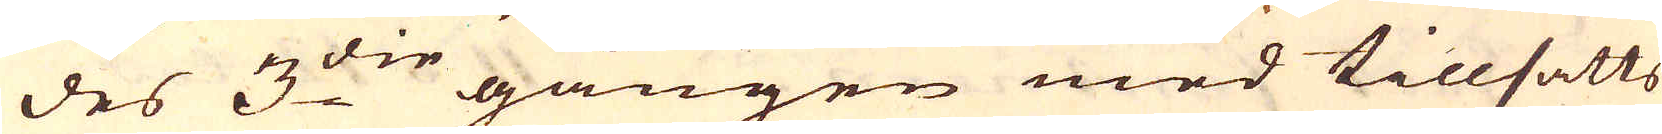des 3:die gången med tillsatts
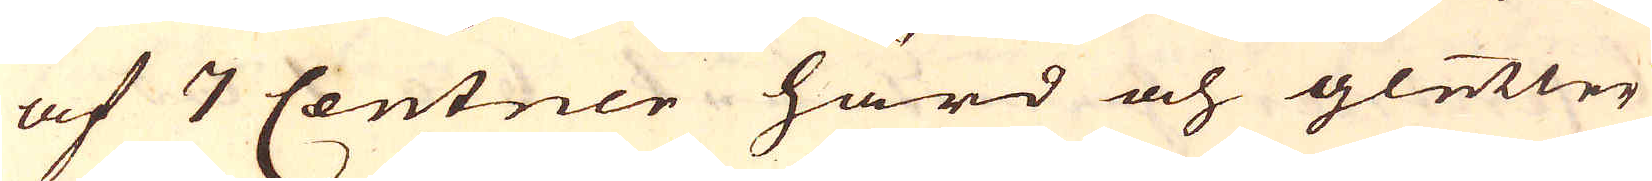af 7 Centner hård och gletter
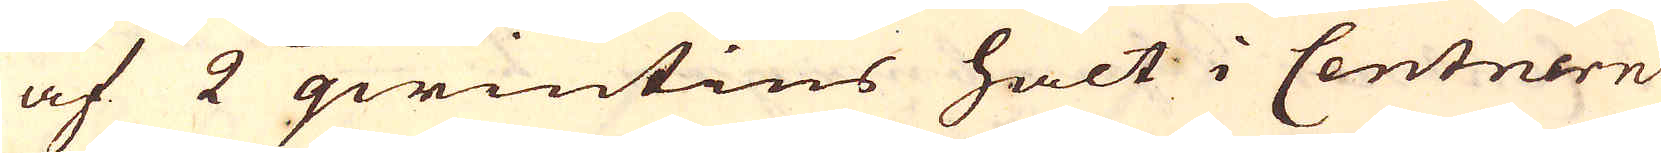af 2 qwintins halt i Centnern
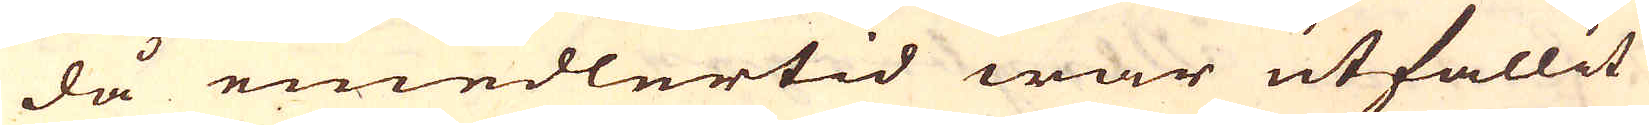då emedlertid war utfallit
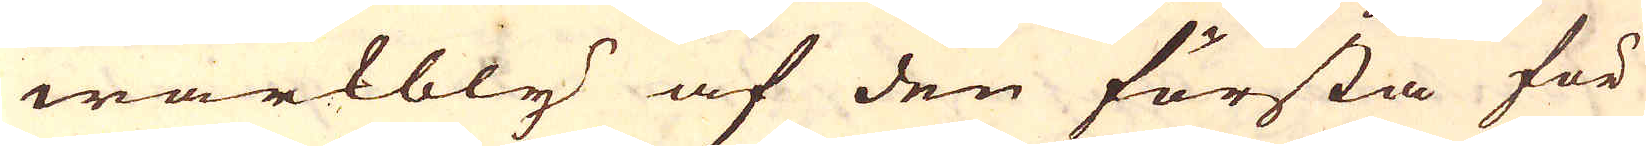wärkbly af den första för
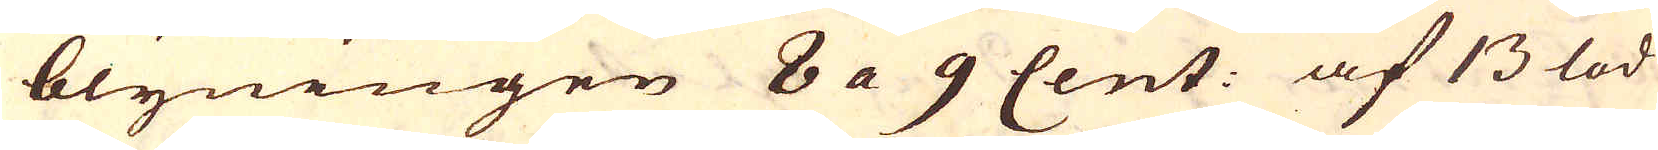blyningen 8 a 9 Cent: af 13 lod
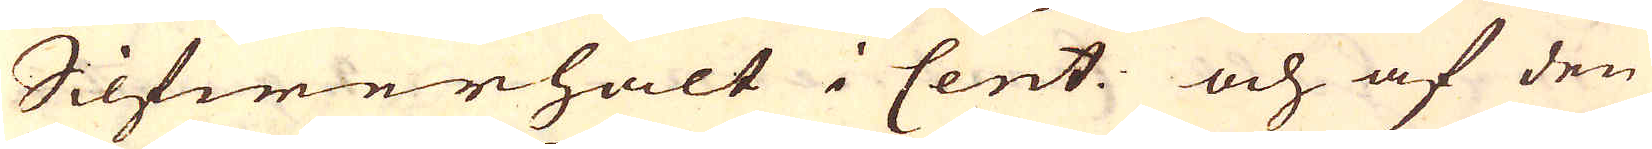Silfwerhalt i Cent: och af den
